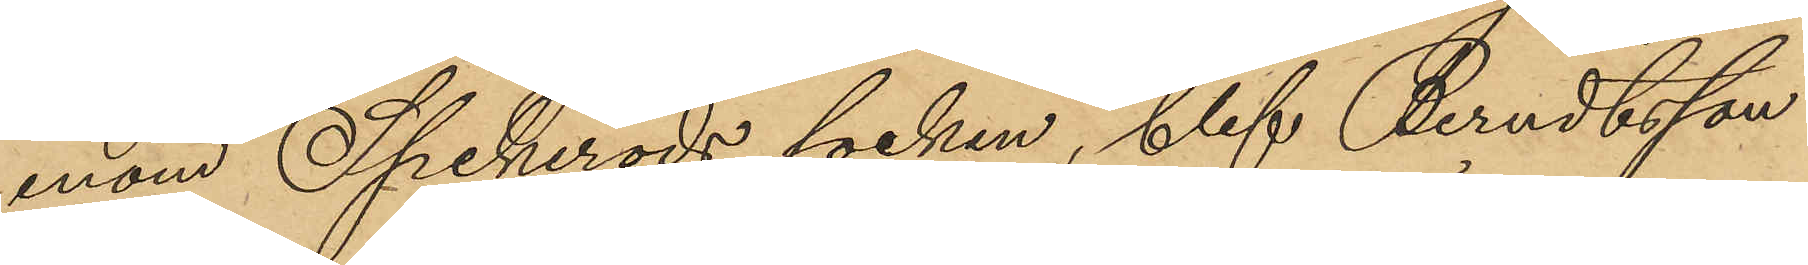inom Spekeröds socken, blef Berndtsson
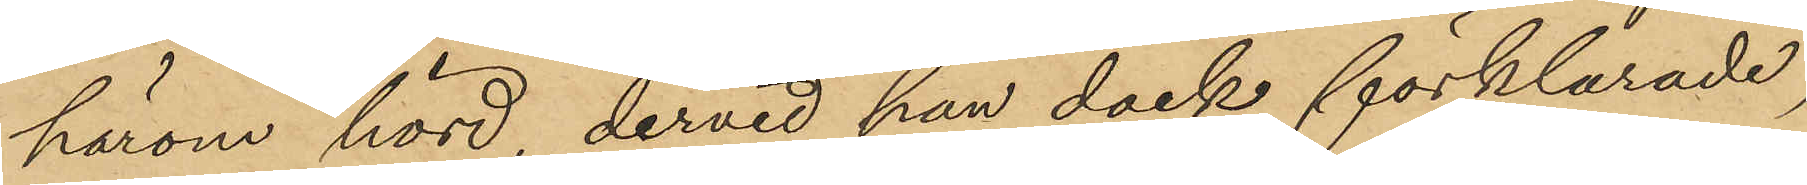härom hörd, dervid han dock förklarade,
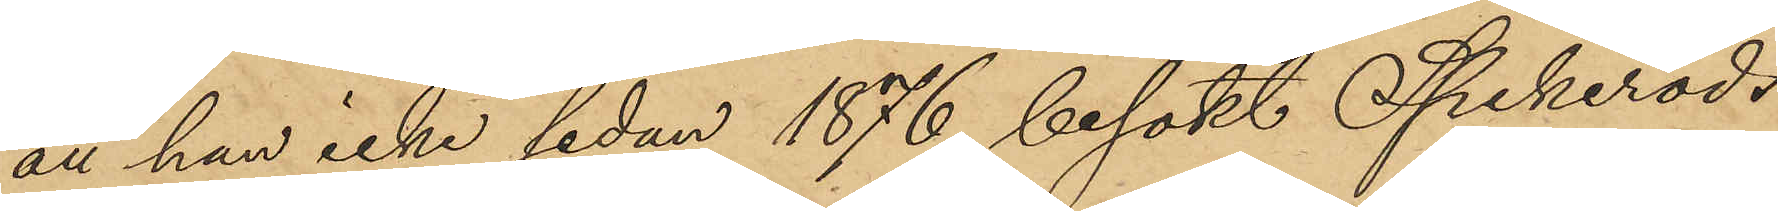att han icke sedan 1876 besökt Spekeröds
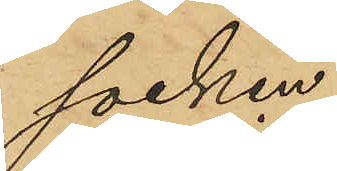socken.
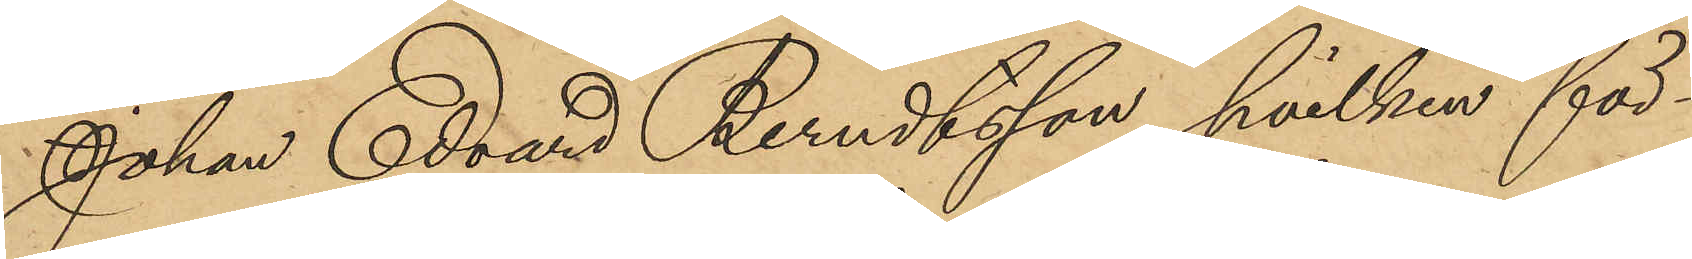Johan Edvard Berndtsson, hvilken för¬
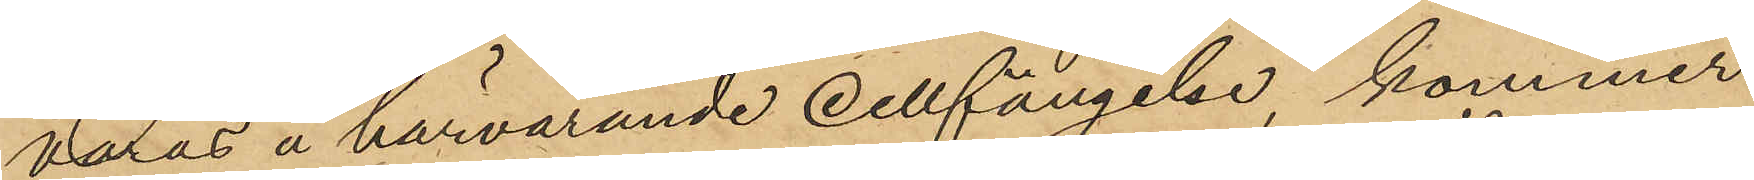varas å härvarande cellfängelse, kommer
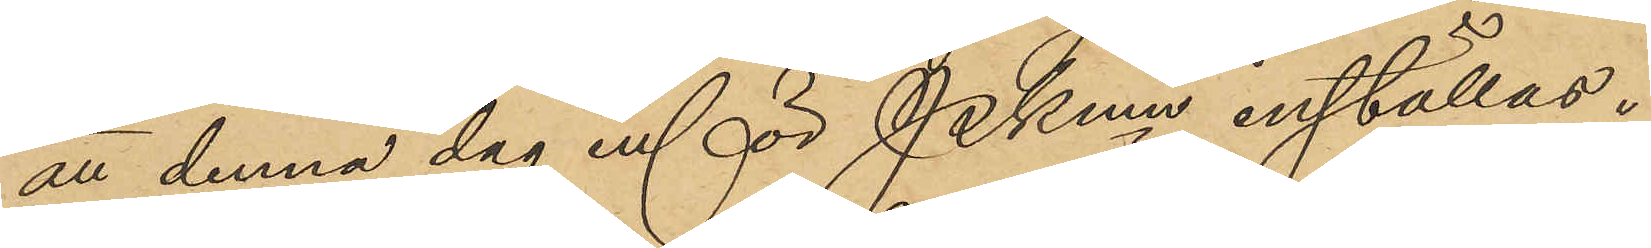att denna dag inför Pkmn inställas.
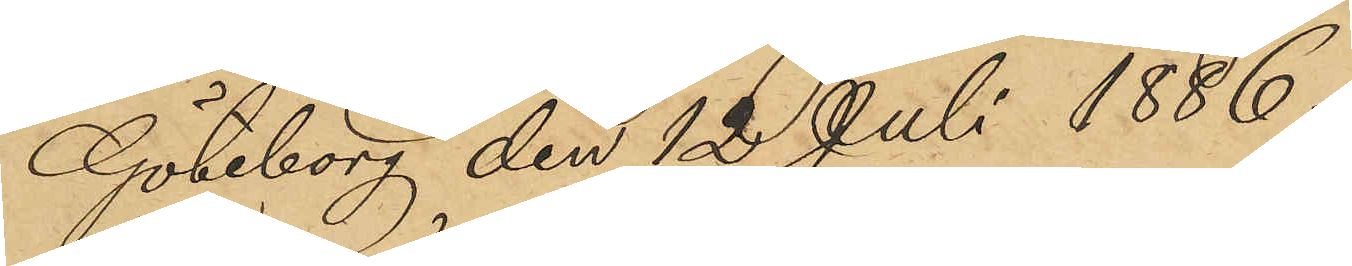Göteborg den 12 Juli 1886.
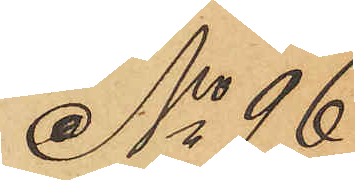No 96
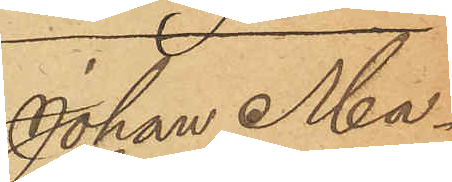Johan Ma¬
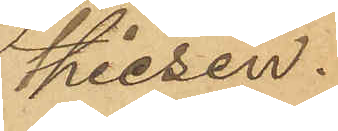thiesen.
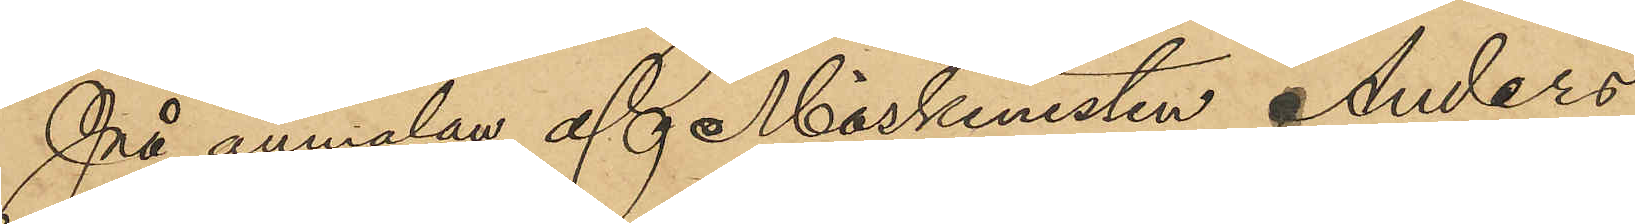På anmälan af Maskinisten Anders
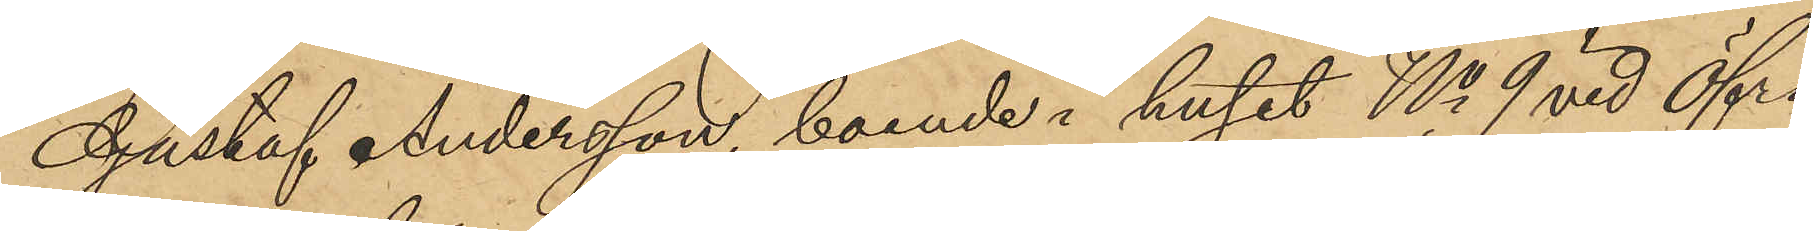Gustaf Andersson, boende i huset No 9 vid Öfra
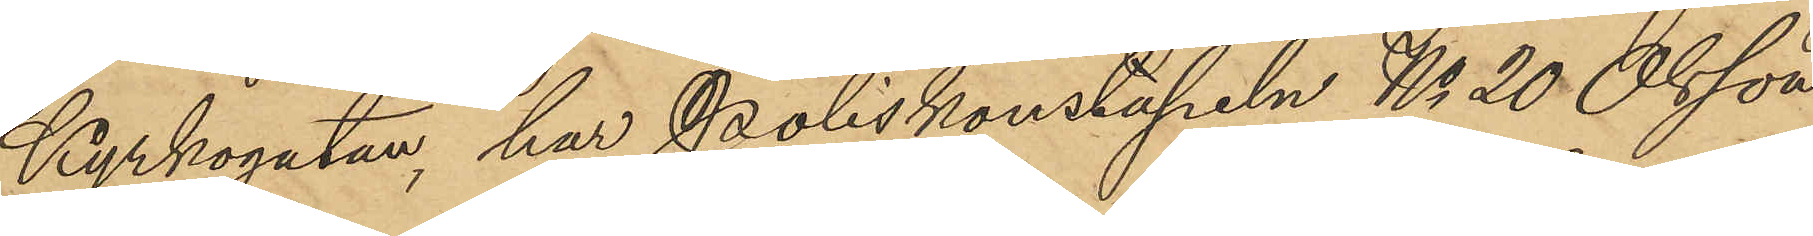Kyrkogatan, har Poliskonstapeln No 20 Olsson
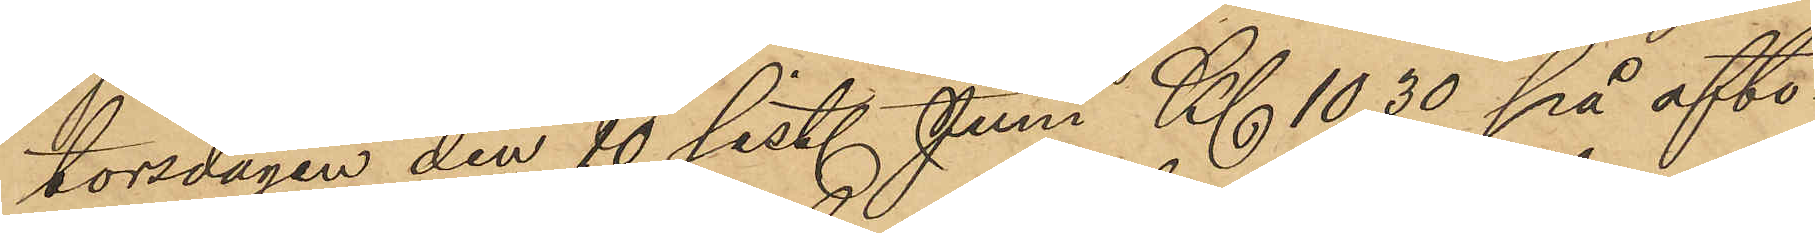torsdagen den 10 sist. Juni Kl 10,30 på afto¬
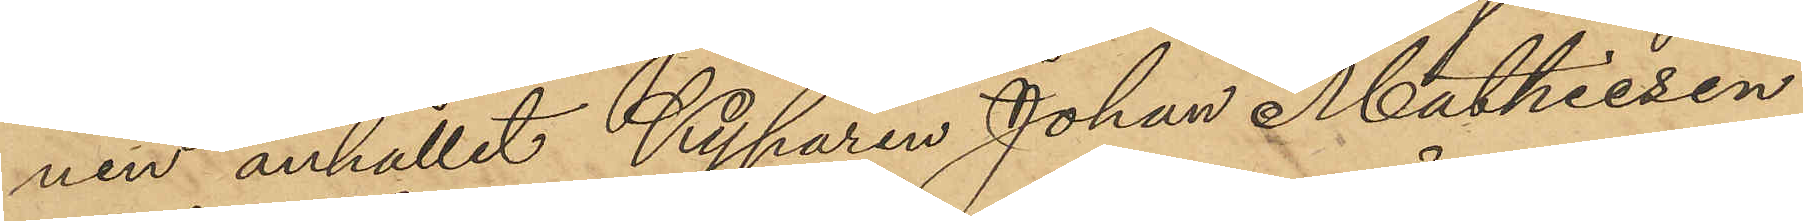nen anhållit Kyparen Johan Mathiesen
